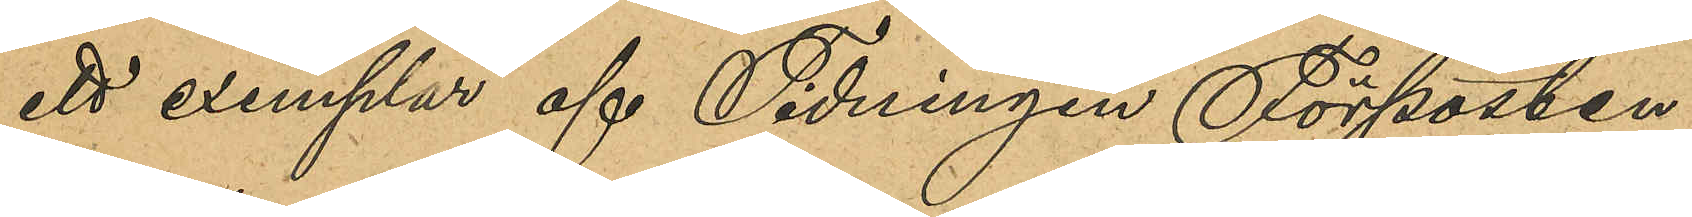ett exemplar af Tidningen Förposten,
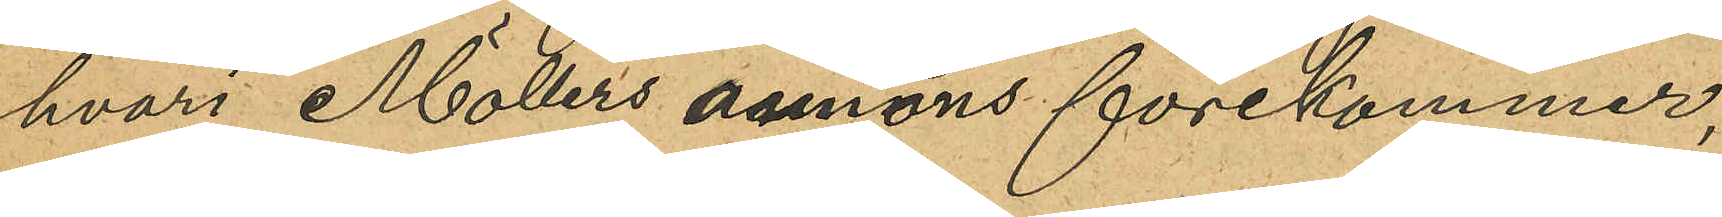hvari Möllers annons förekommer,
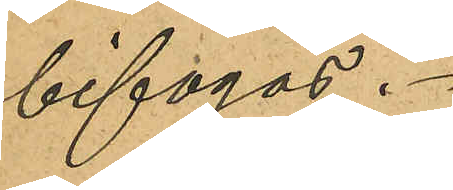bifogas.
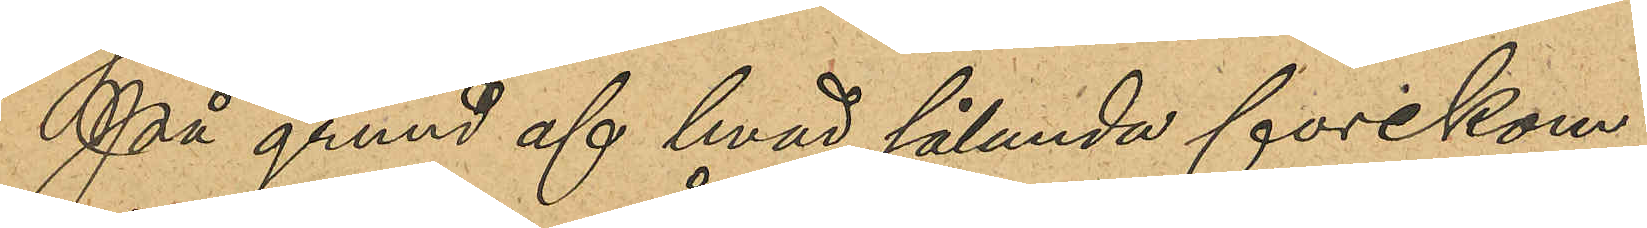På grund af hvad sålunda förekom¬
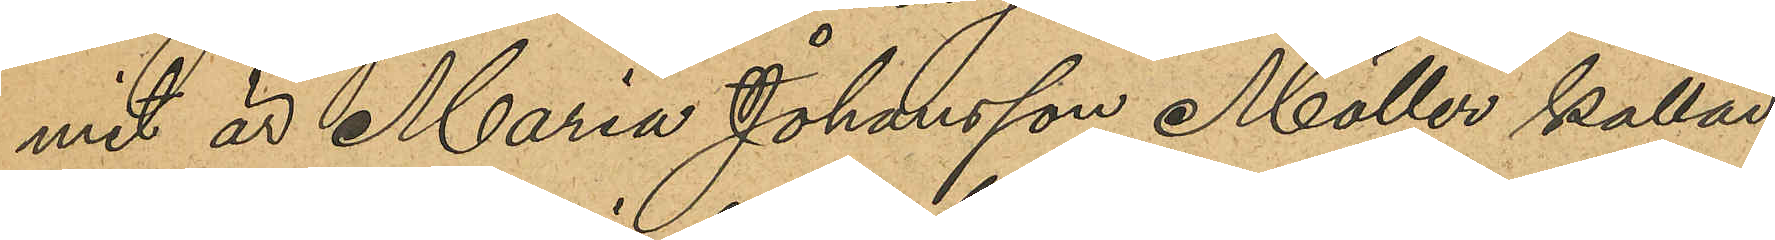mit är Maria Johansson Möller kallad
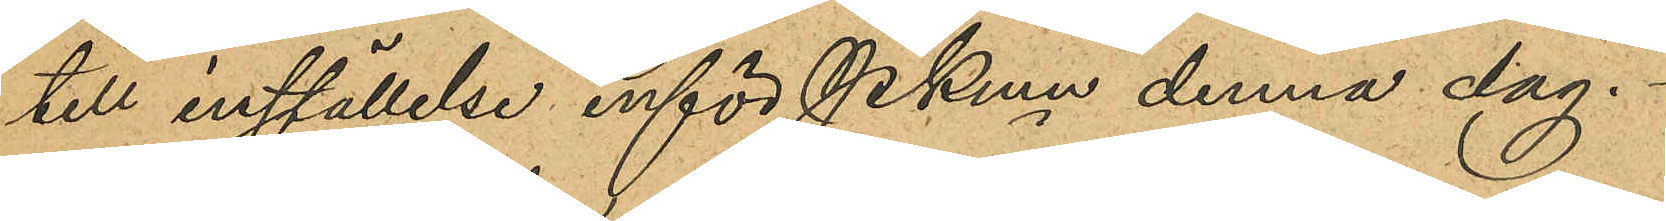till inställelse inför PKmn denna dag.
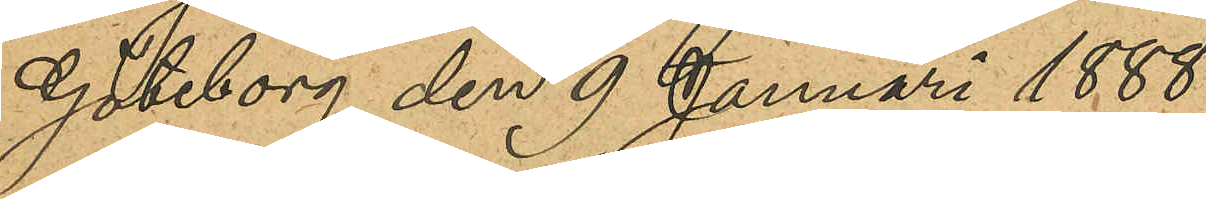Göteborg den 9 Januari 1888.
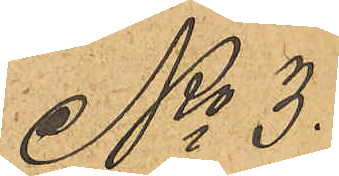No 3.
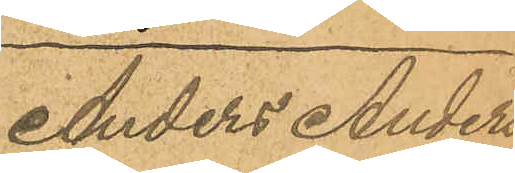Anders Anders¬
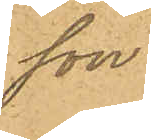son.
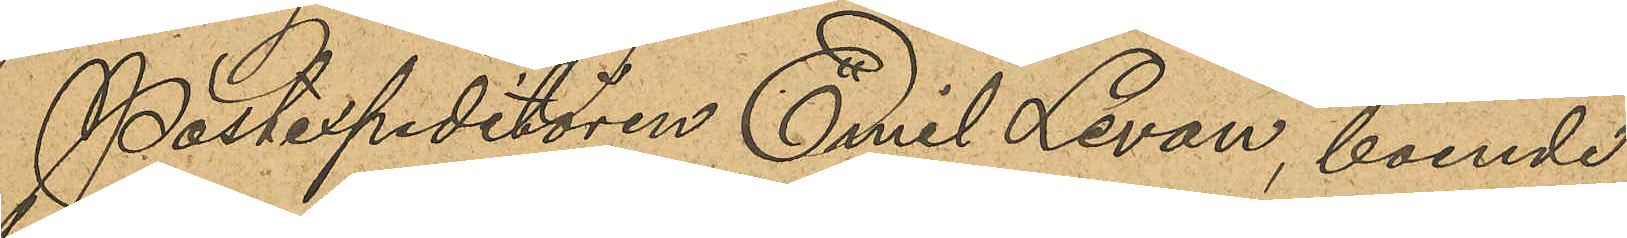Postexpeditören Emil Levan, boende
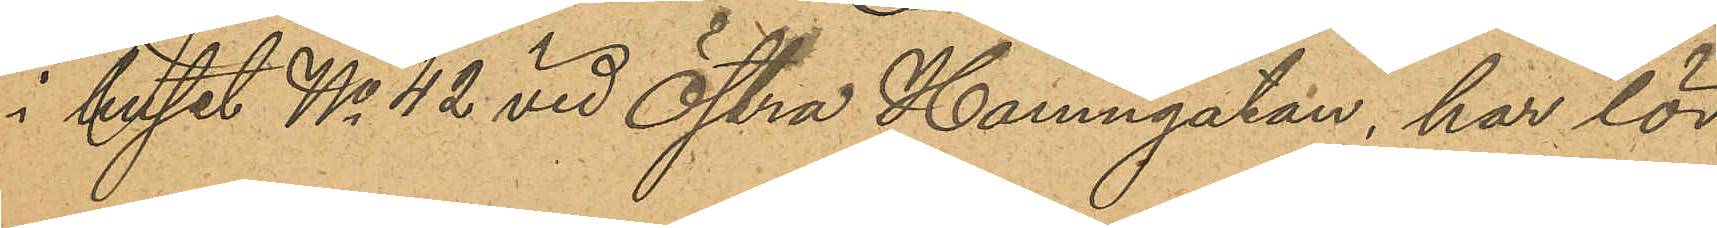i huset No 42 vid Östra Hamngatan, har lör¬
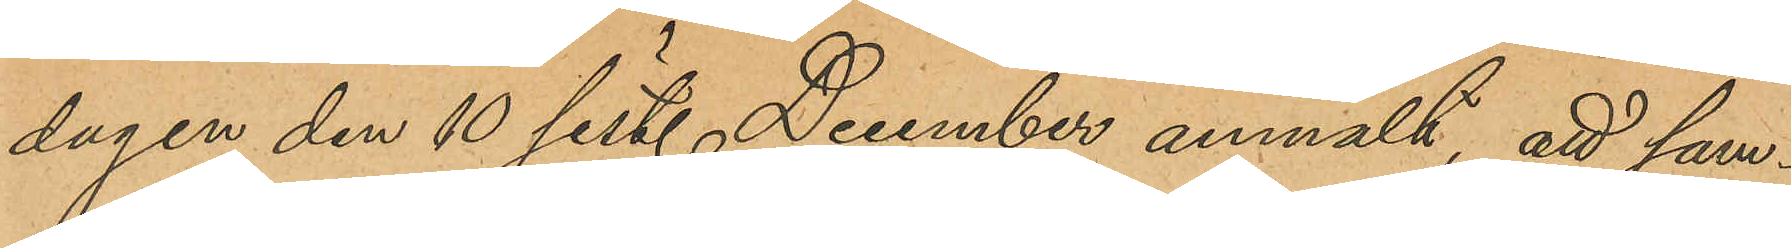dagen den 10 sist. December anmält, att sam¬
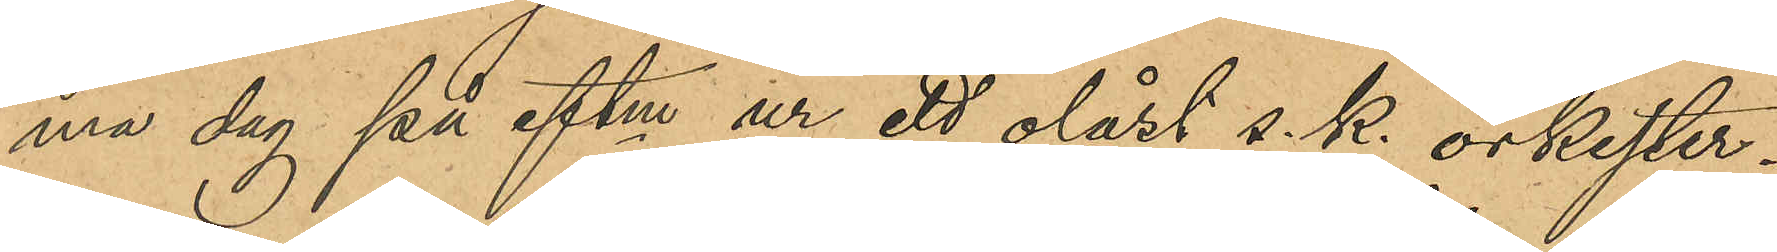ma dag på eftm ur ett olåst s. k. orkester¬
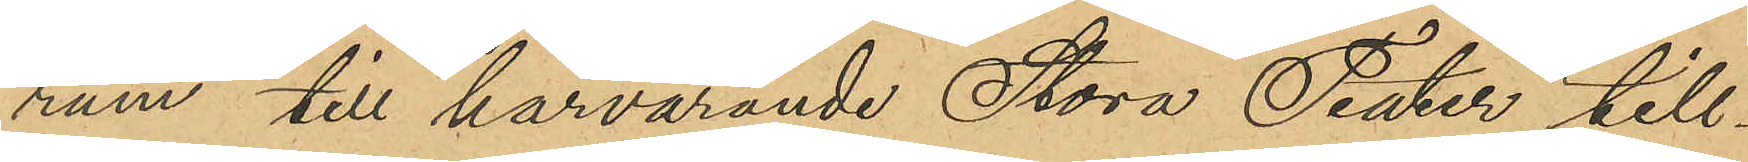rum till härvarande Stora Teater till¬
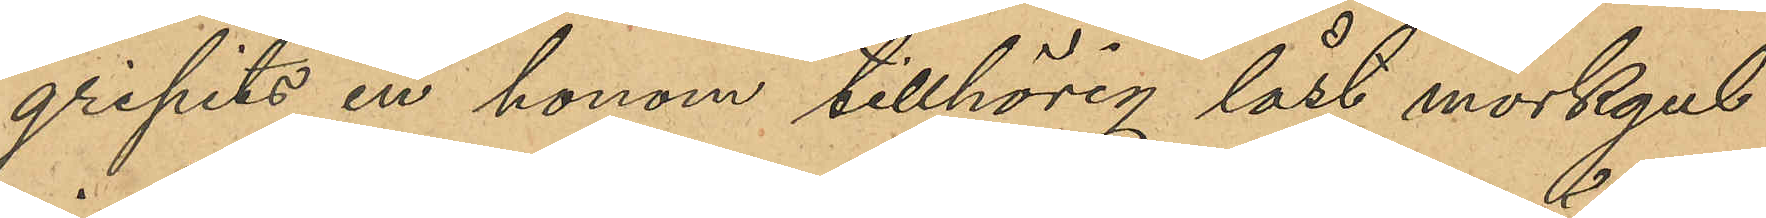gripits en honom tillhörig låst mörkgul
